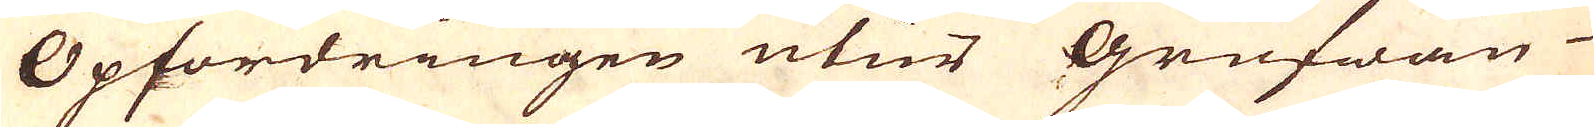Opfordringen utur Grufwan
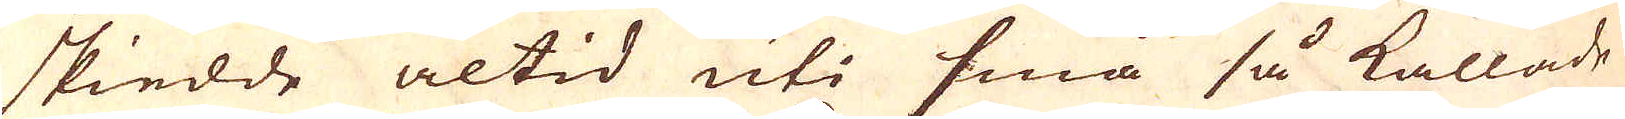skiedde altid uti små så kallade
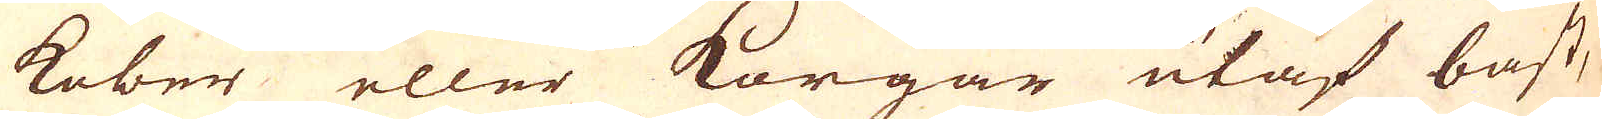kober eller Korgar utaf bast,
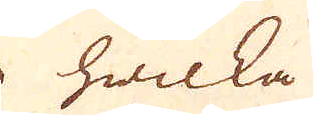hwilka
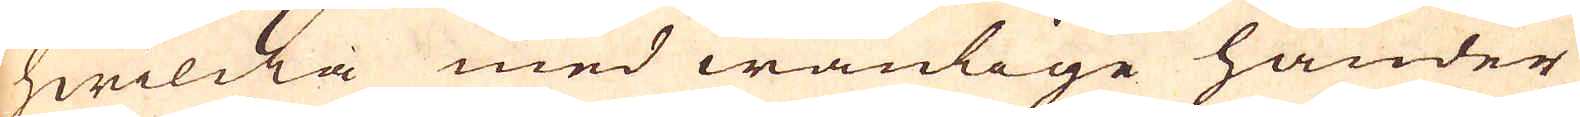hwilcka med wanlige händer
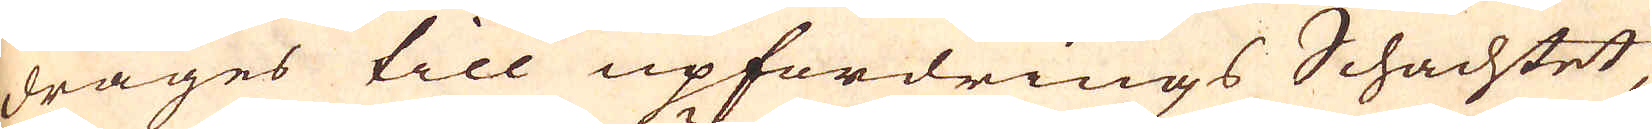drages till upfordrings Schachtet
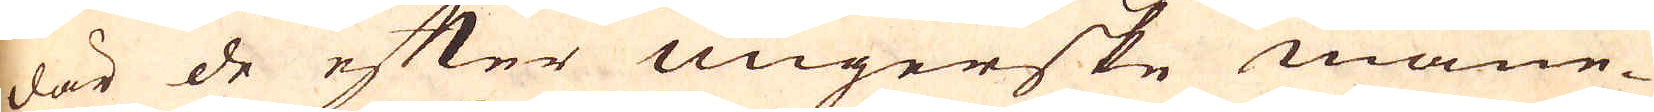där de efter Ungerske mane-
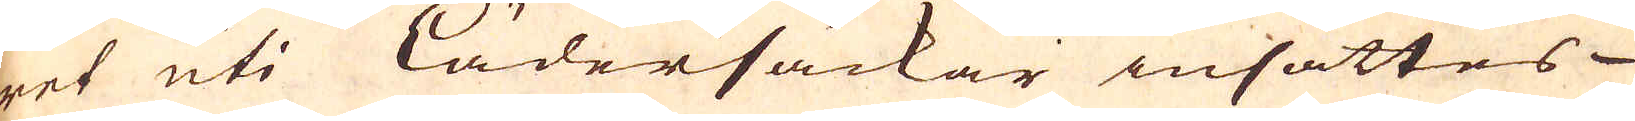ret uti lädersäckar insättes
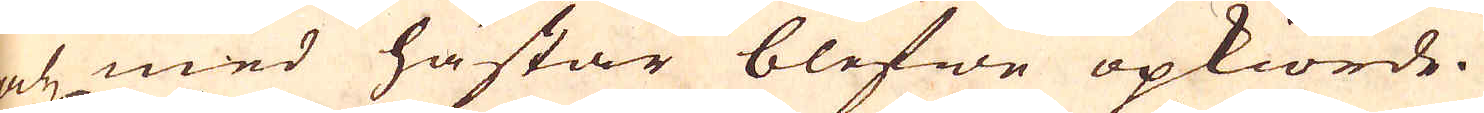och med hästar blefwe opkiörde.
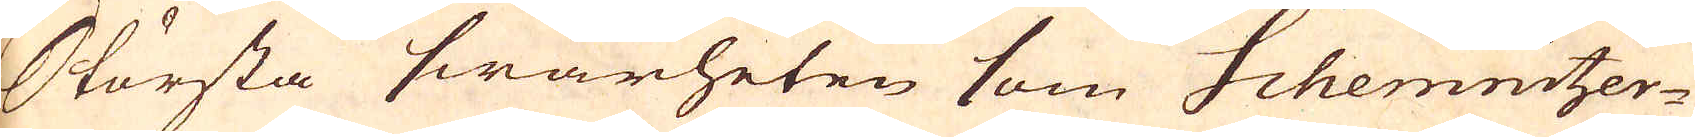Största swårheten som Schemnitzer-
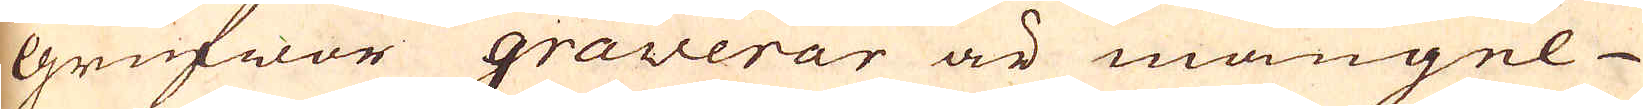Grufwor graverar är mangel
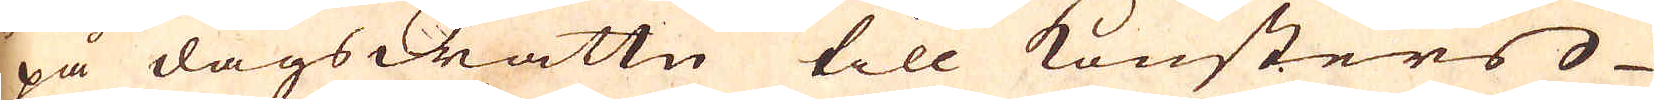på dagswattn till konsters
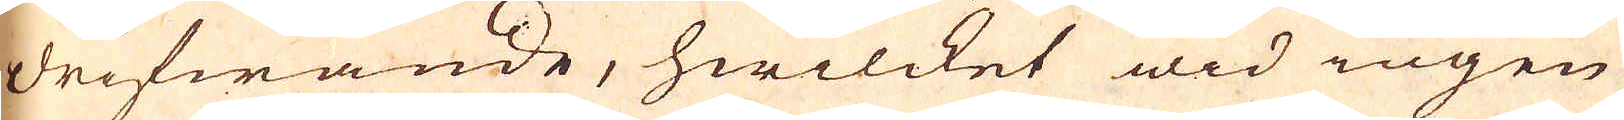drifwande, hwilcket wid ingen
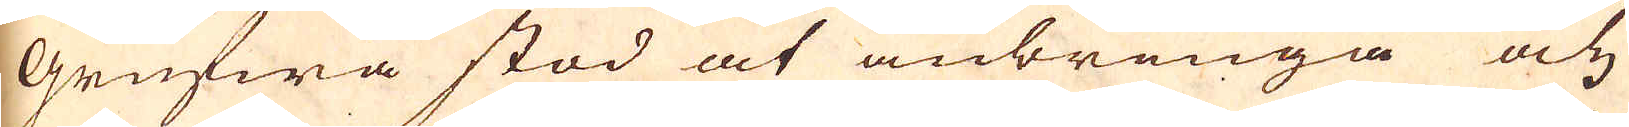Grufwa stod at anbringa och
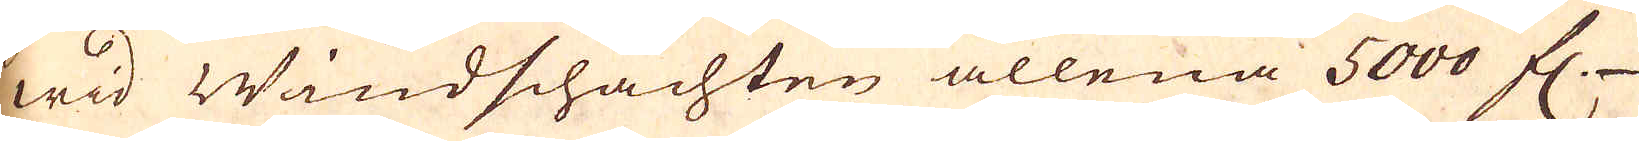wid Windschachten allena 5000 fl
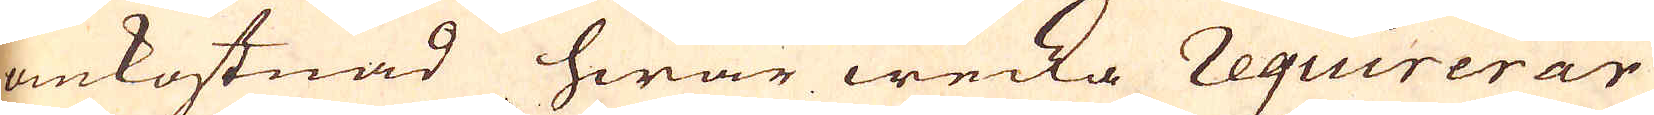omkostnad hwar wecka requirerar
